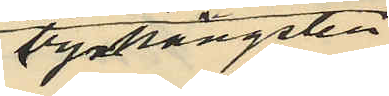tyghängslen
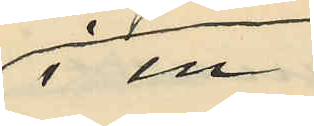i en
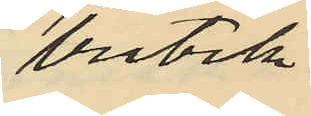butik
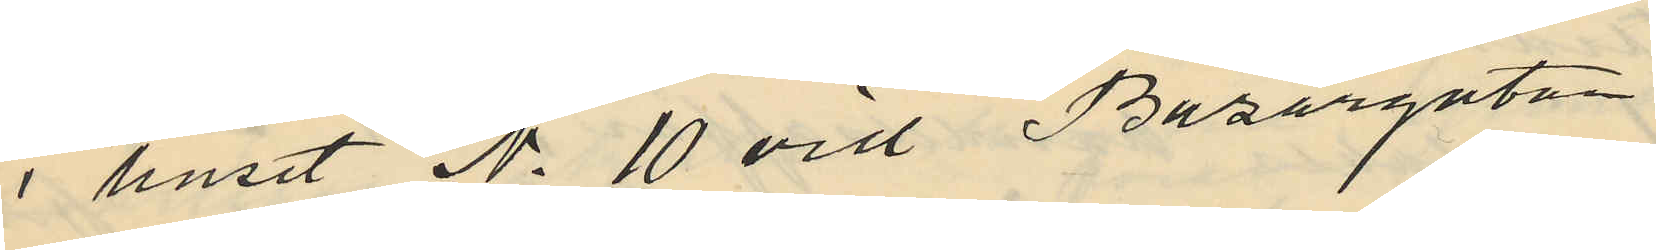i huset No 10 vid Bazargatan
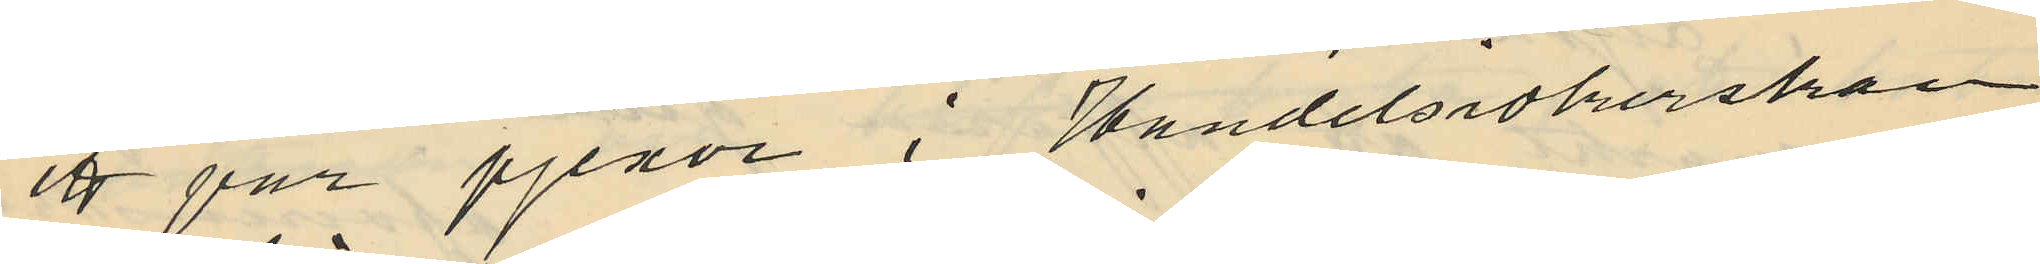ett par pjexor i Handelsidkerskan
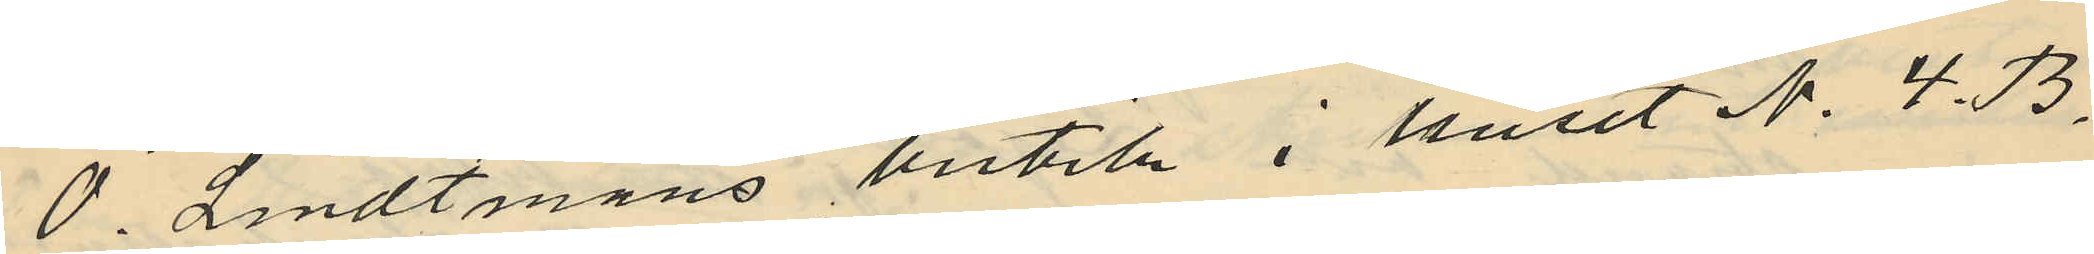O. Lindtmans butik i huset No 4. B.
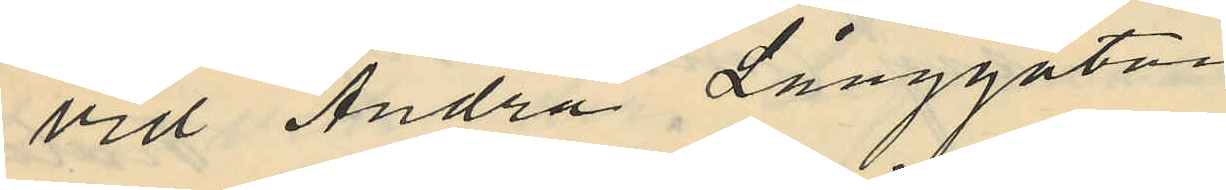vid Andra Långgatan.
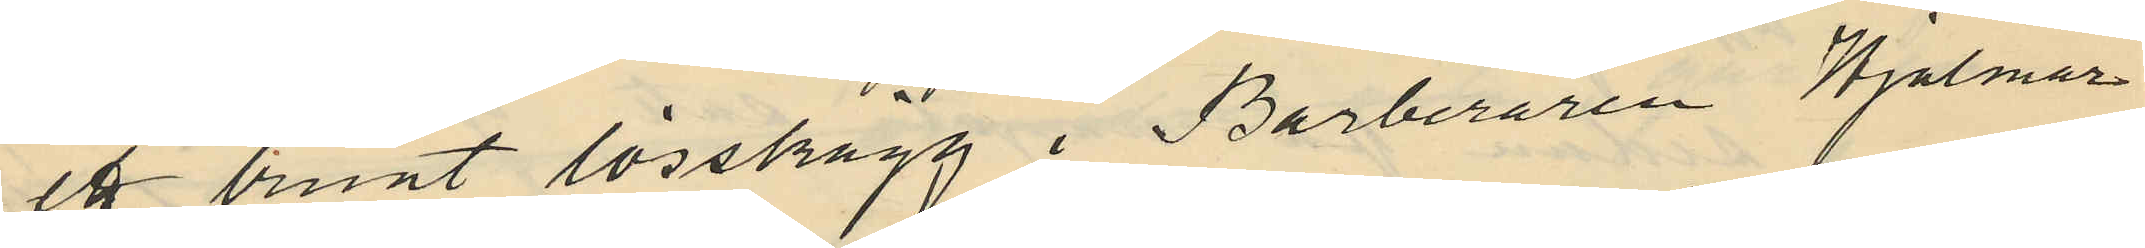ett brunt lösskägg i Barberaren Hjalmar
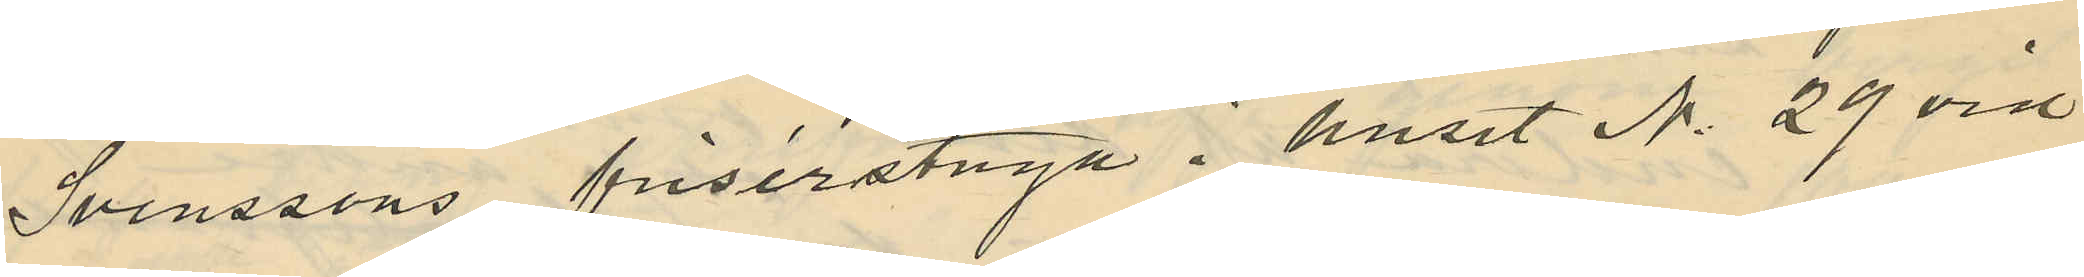Svenssons frisérstuga i huset No 29 vid
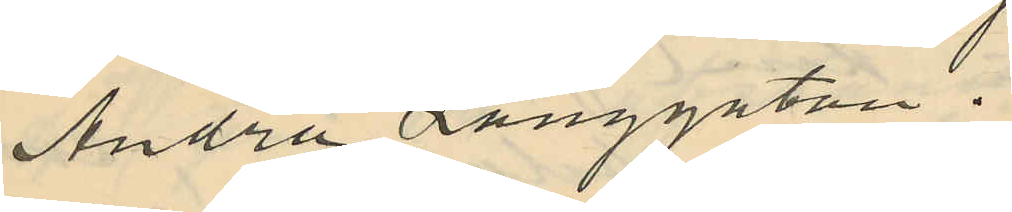Andra Långgatan.
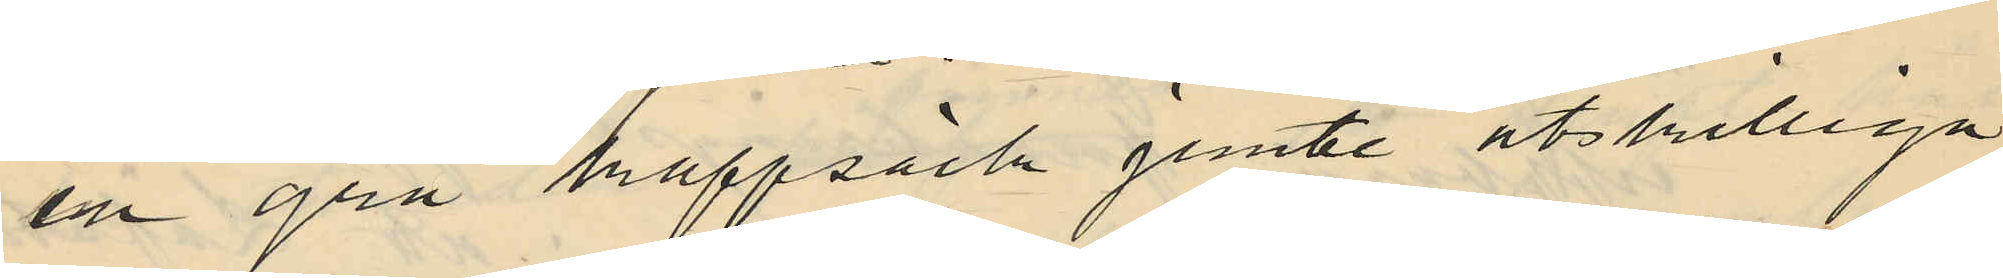en grå kappsäck jemte åtskilliga
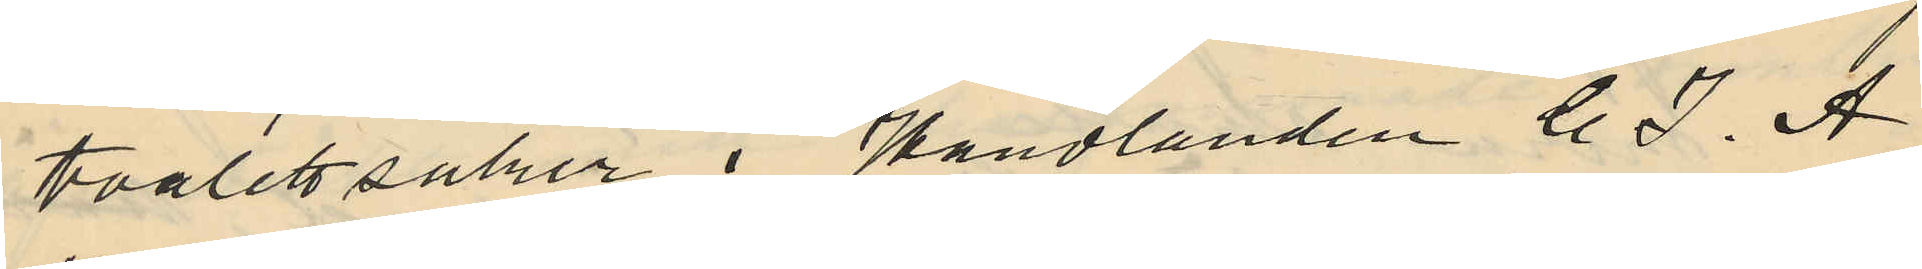toalettsaker i Handlanden C. J. A
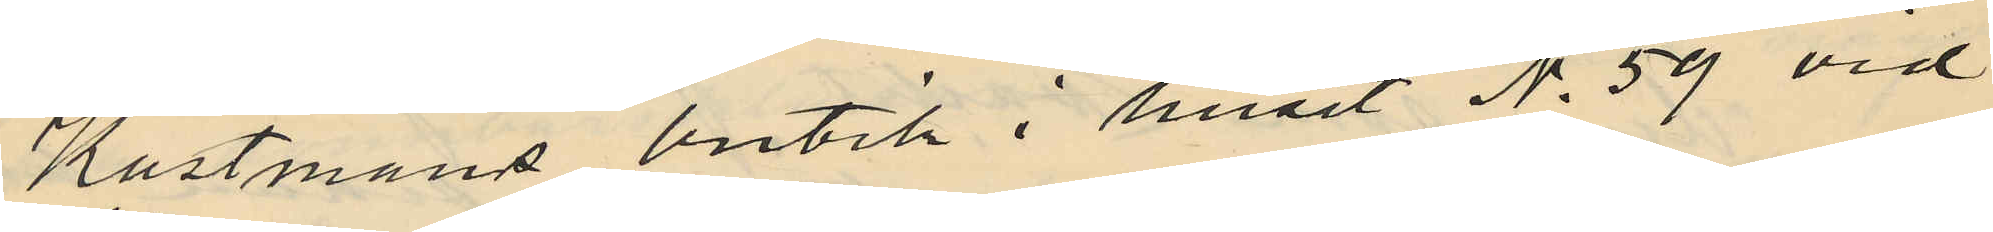Kastmans butik i huset No 59 vid
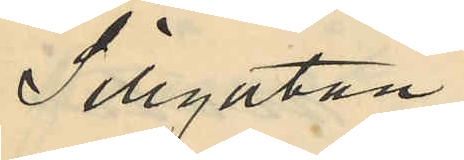Sillgatan.
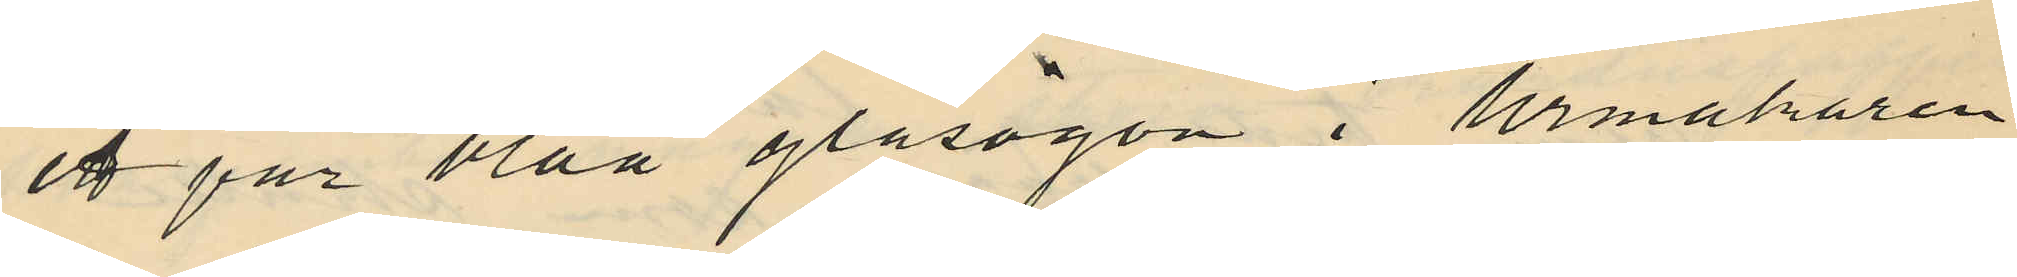ett par blåa glasögon i Urmakaren
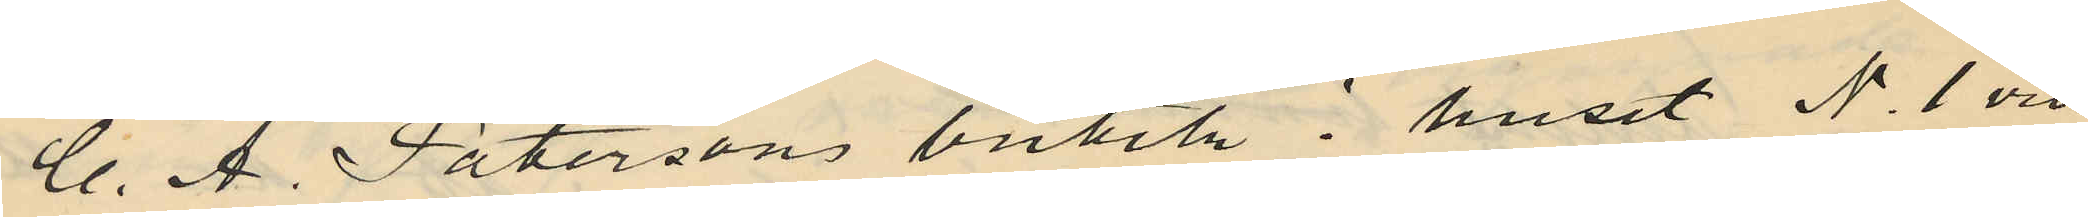C. A. Patersons butik i huset No 1 vid
